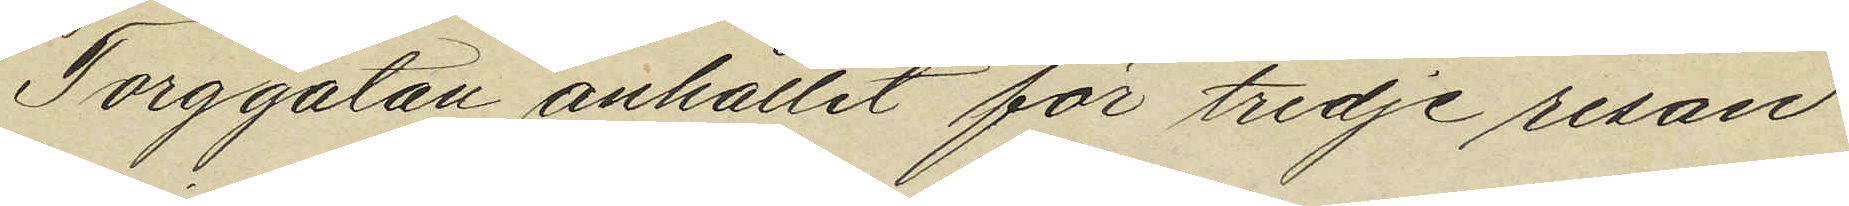Torggatan anhållit för tredje resan
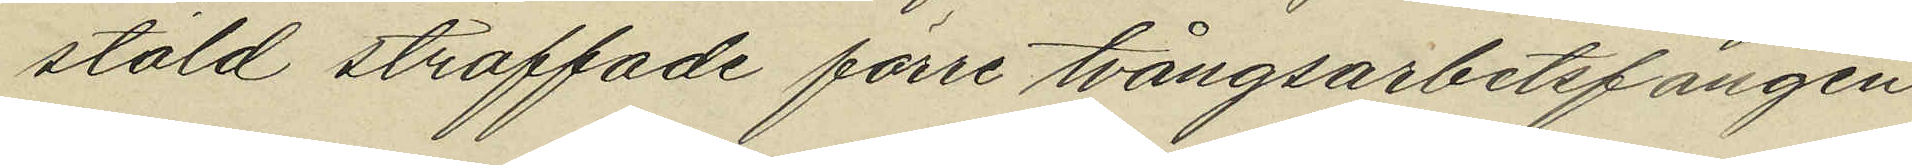stöld straffade förre tvångsarbetsfången
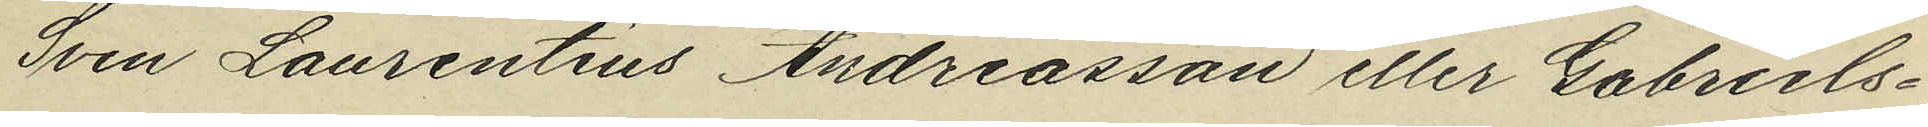Sven Laurentius Andreasson eller Gabriels¬
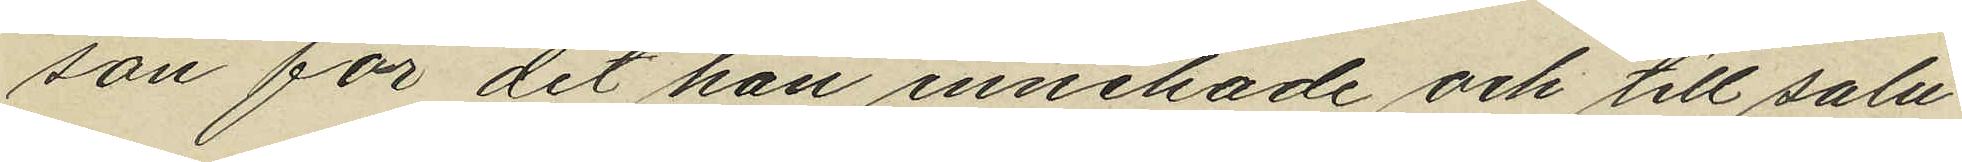son för det han innehade och till salu
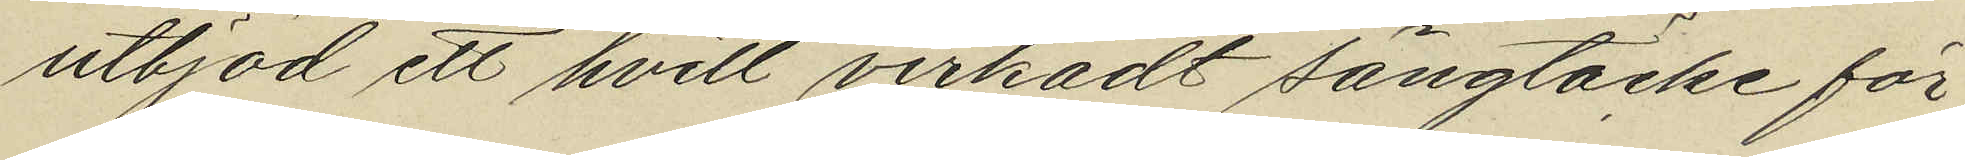utbjöd ett hvitt virkadt sängtäcke för
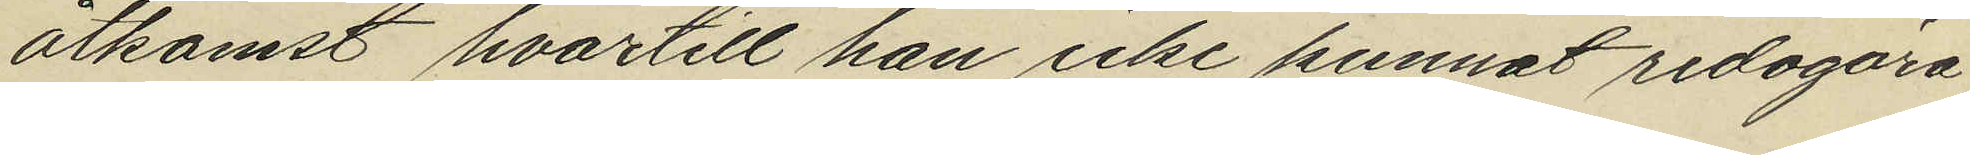åtkomst hvartill han icke kunnat redogöra.
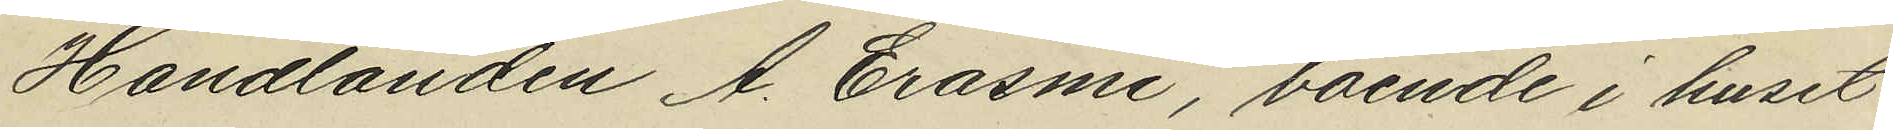Handlanden A. Erasmi, boende i huset
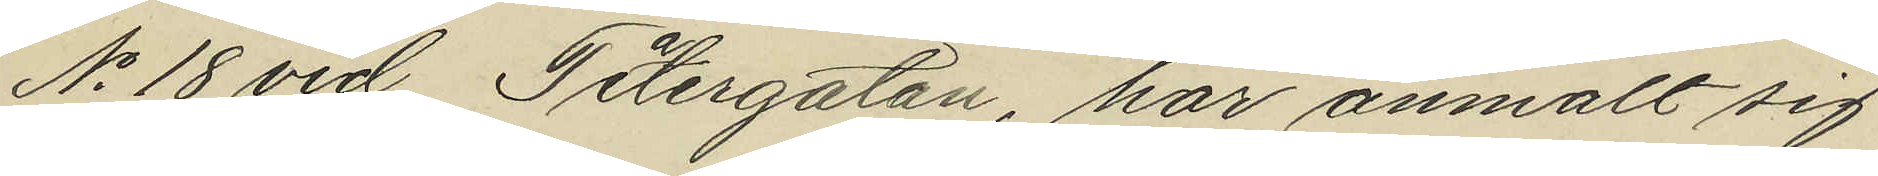No 18 vid Teatergatan, har anmält sig
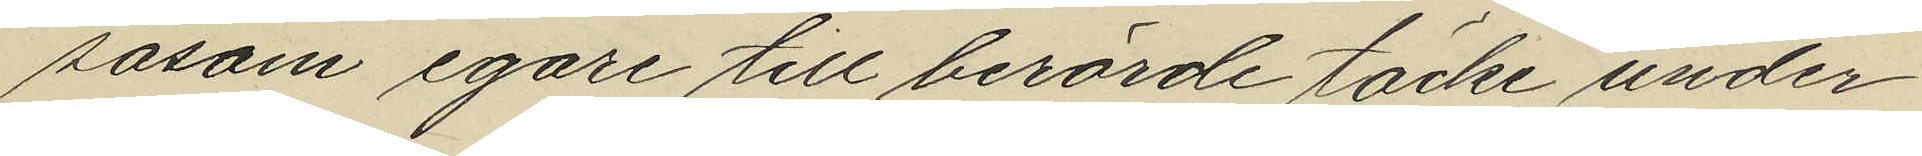såsom egare till berörde täcke under
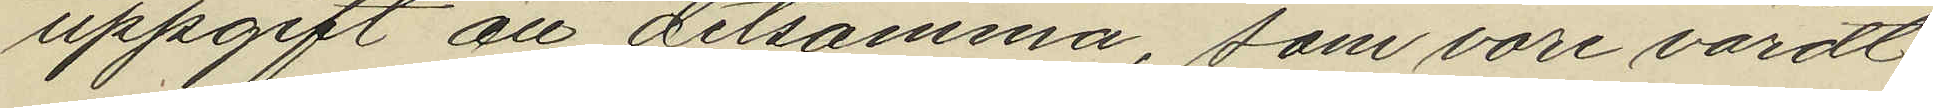uppgift att detsamma, som vore värdt
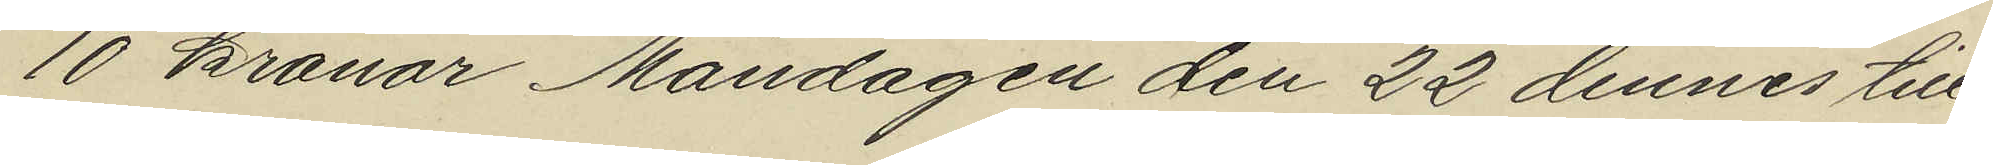10 kronor Måndagen den 22 dennes till¬
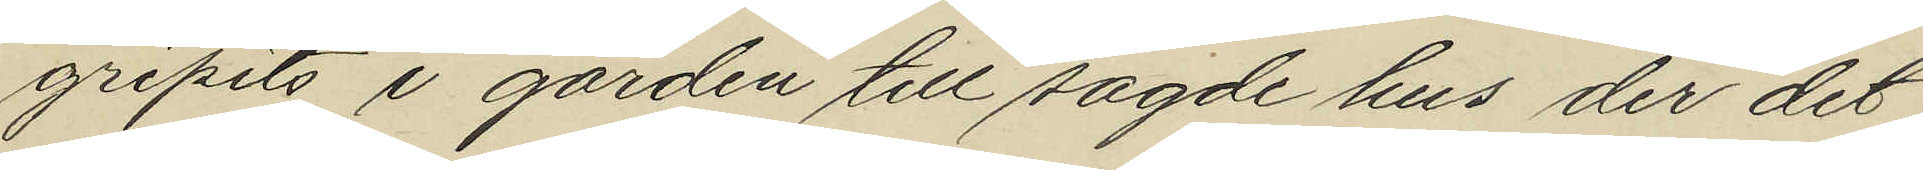gripits i gården till sagde hus der det
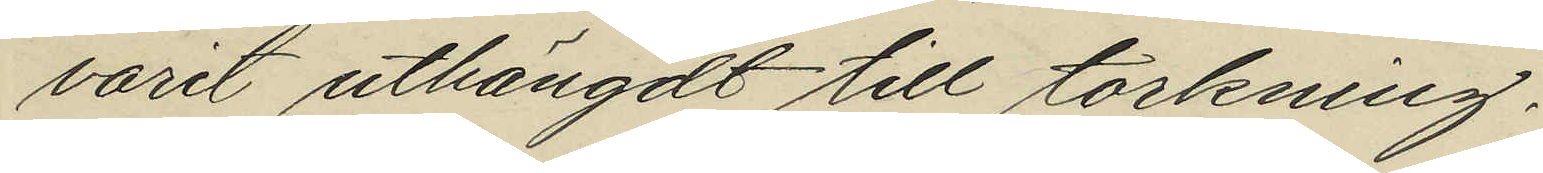varit uthängdt till torkning.
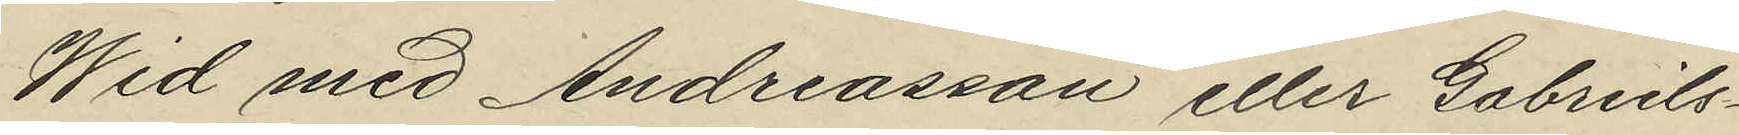Wid med Andreasson eller Gabriels¬
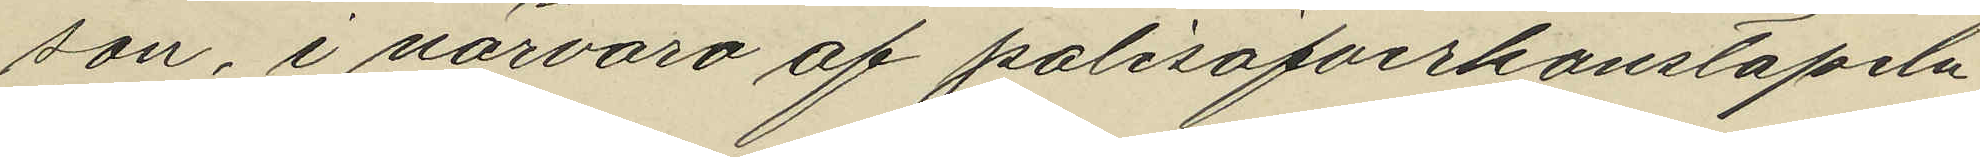son, i närvaro af polisöfverkonstapeln
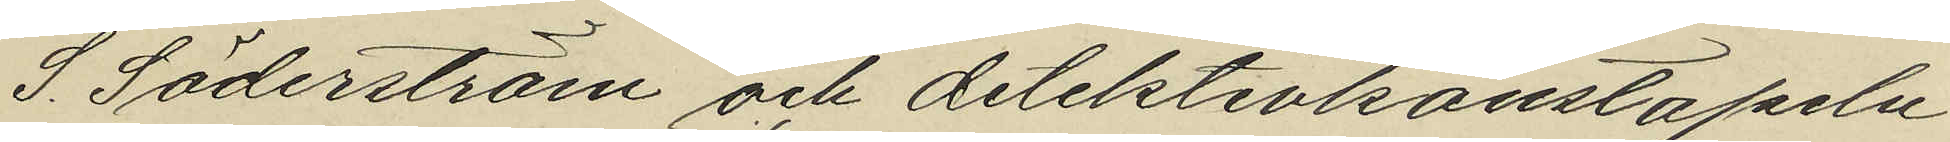S. Söderström och detektivkonstapeln
